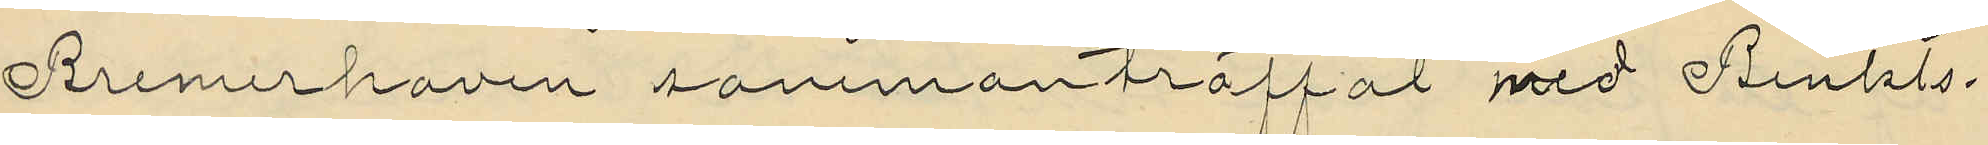Bremerhaven sammanträffat med Benkts¬
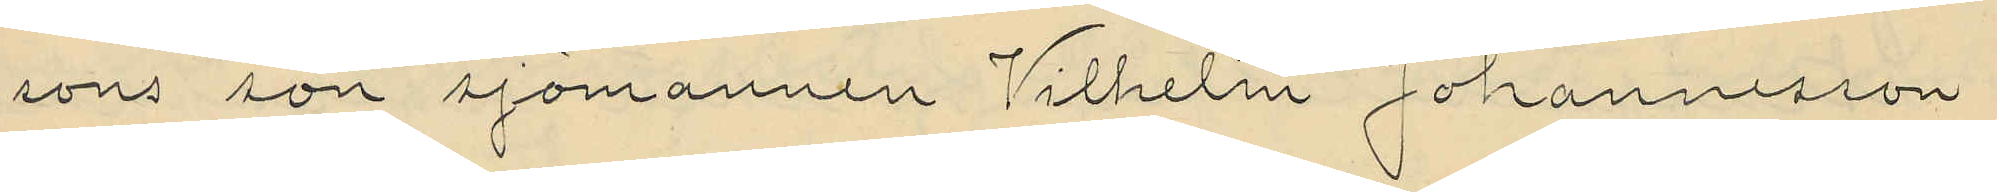sons son sjömannen Vilhelm Johannesson
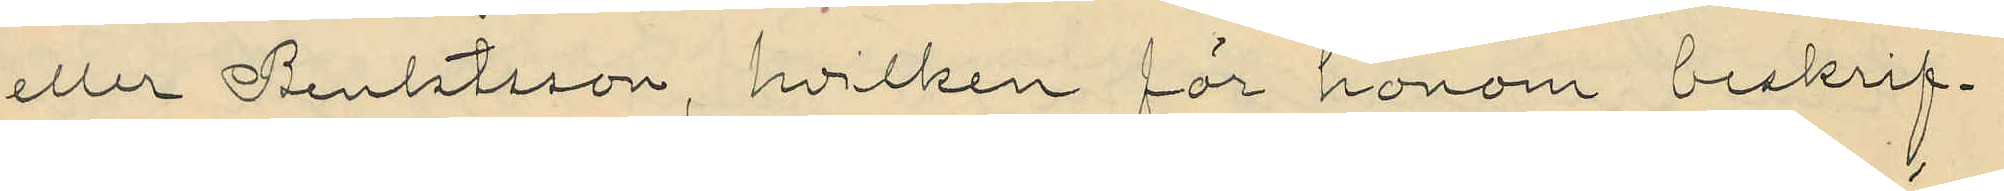eller Benktsson, hvilken för honom beskrif¬
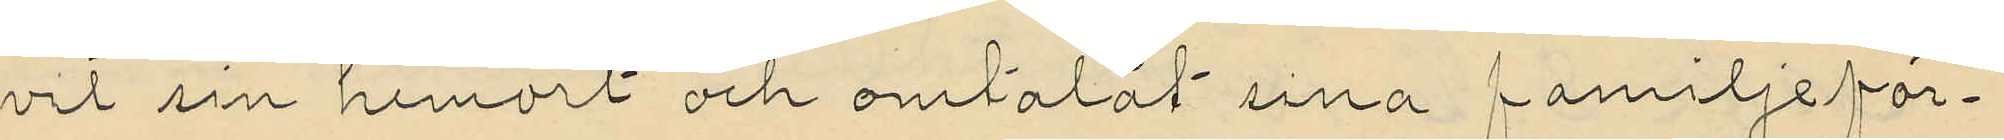vit sin hemort och omtalat sina familjeför¬
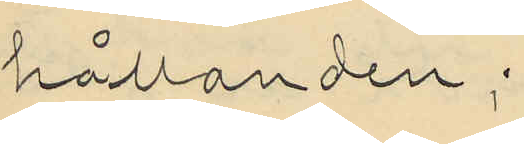hållanden;
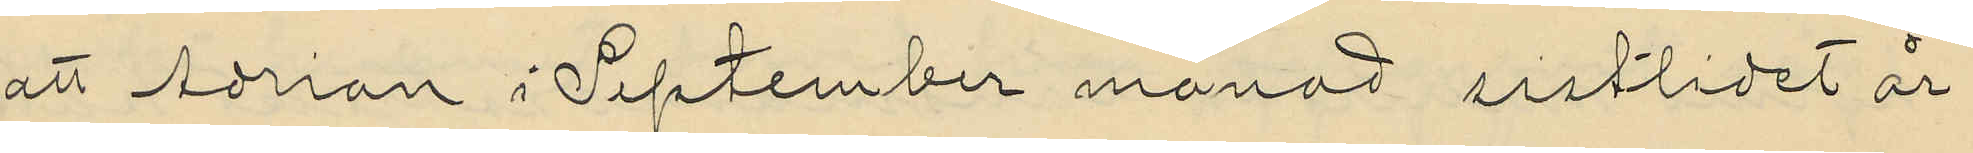att Adrian i September månad sistlidet år
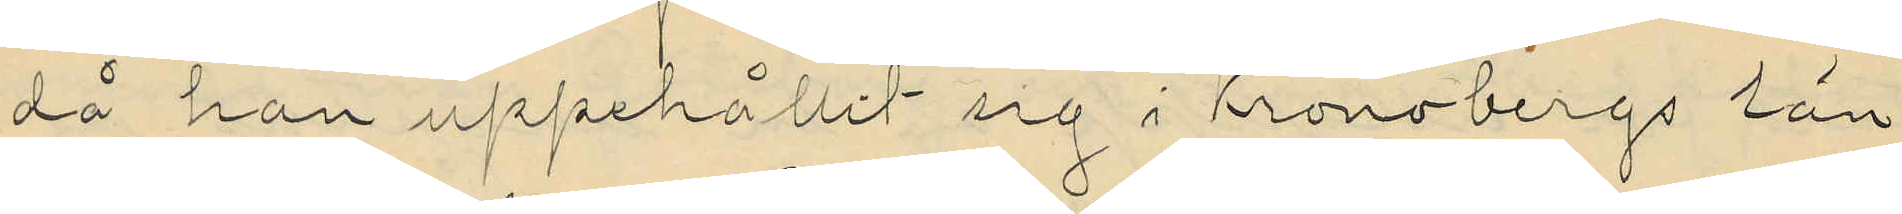då han uppehållit sig i Kronobergs län
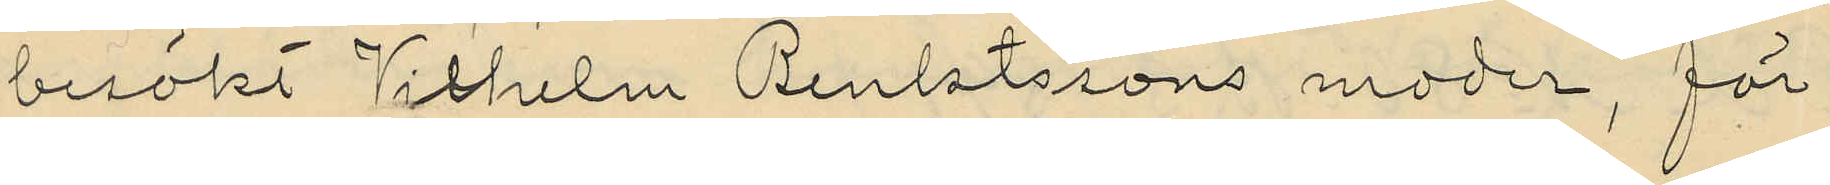besökt Vilhelms Benktssons moder, för
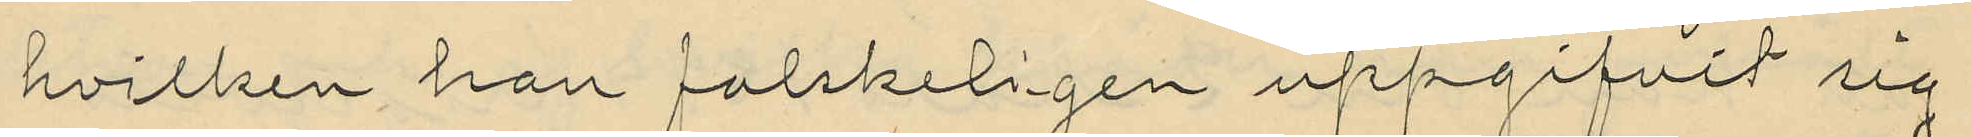hvilken han falskeligen uppgifvit sig
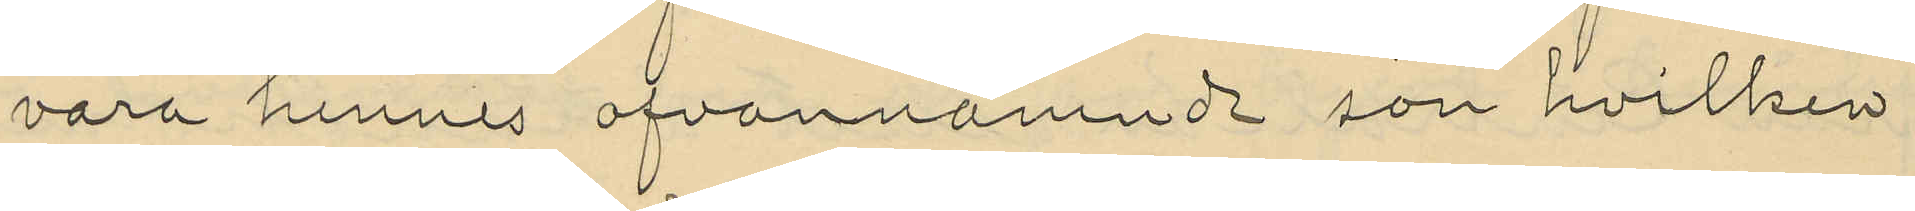vara hennes ofvannämnde son hvilken
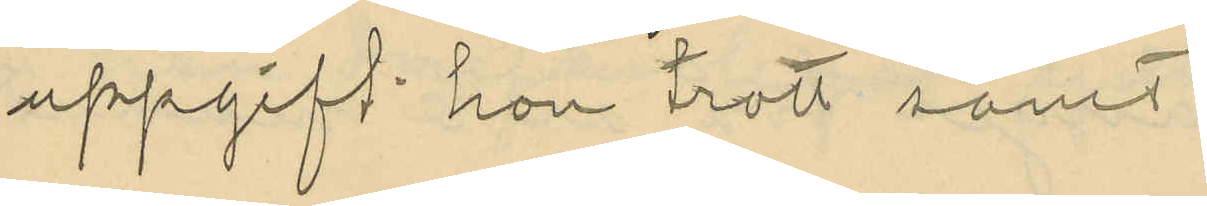uppgift hon trott samt
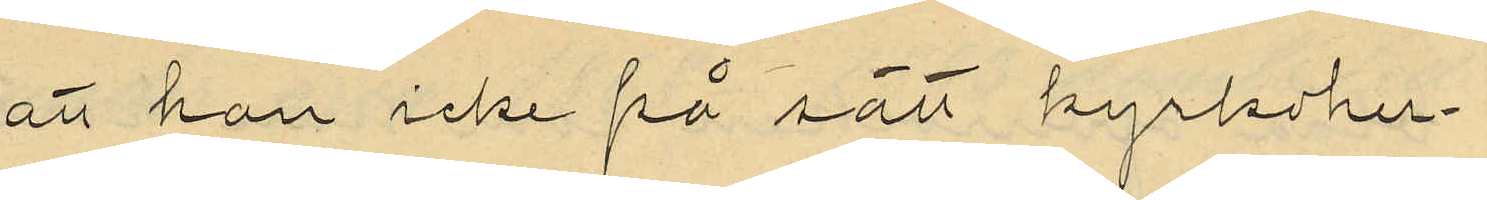att han icke på sätt kyrkoher¬
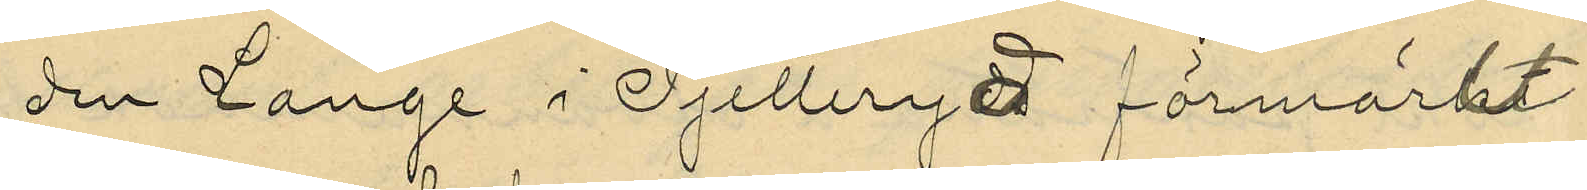den Lange i Pjetteryd förmärkt
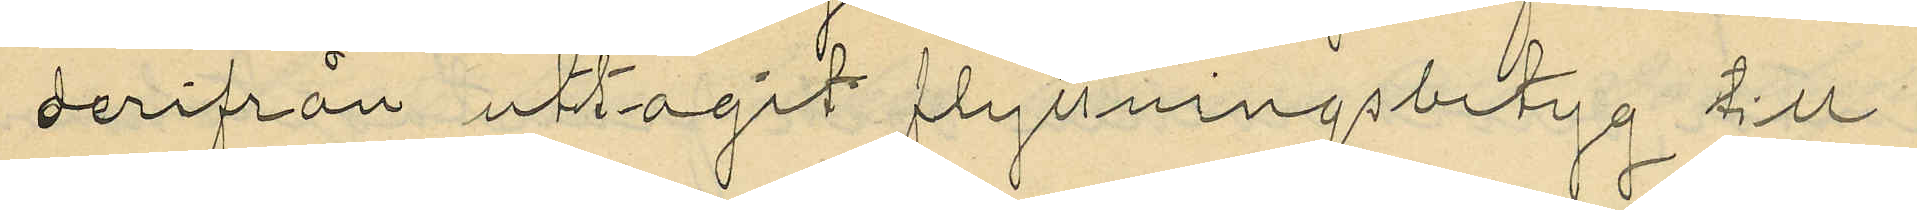derifrån uttagit flyttningsbetyg till
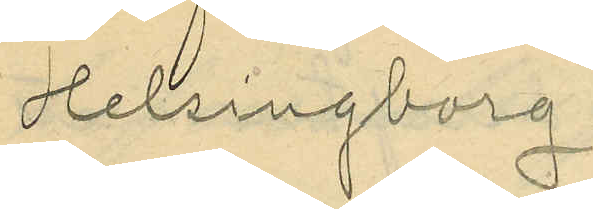Helsingborg.
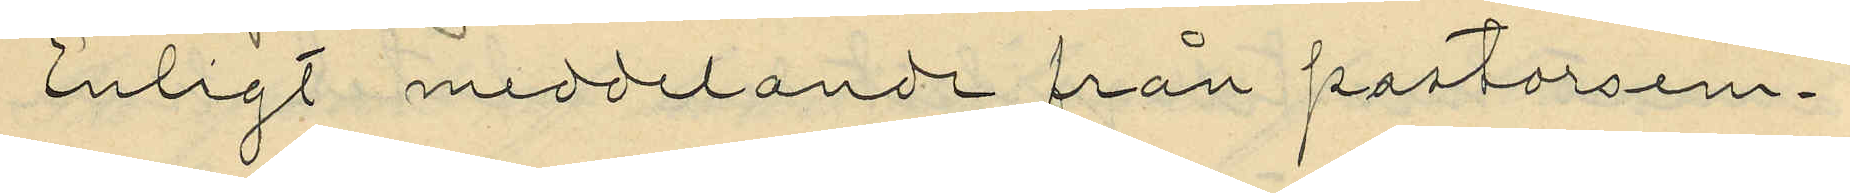Enligt meddelande från pastorsem¬
